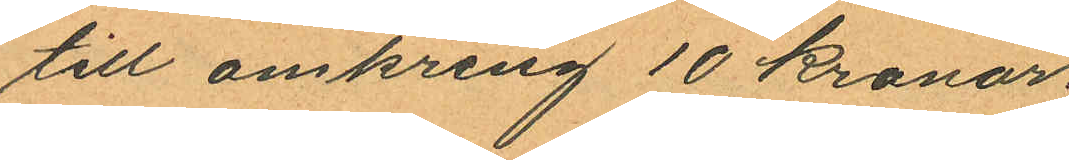till omkring 10 kronor;
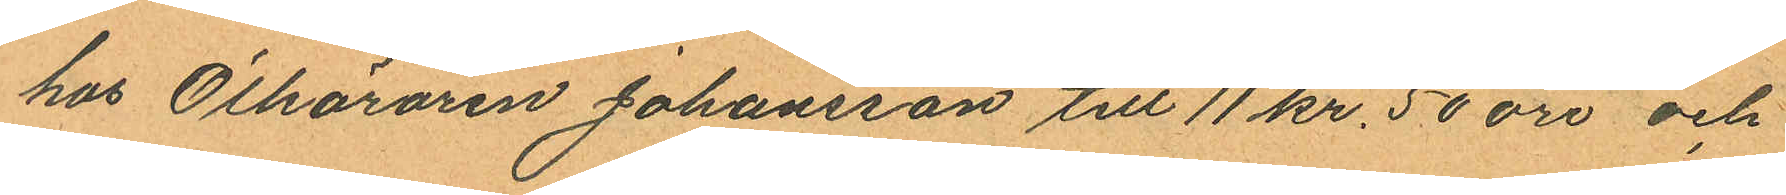hos Ölköraren Johansson till 11 kr. 50 öre och
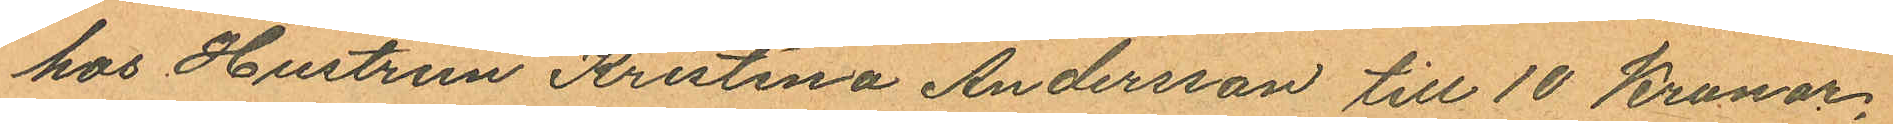hos Hustrun Kristina Andersson till 10 Kronor,
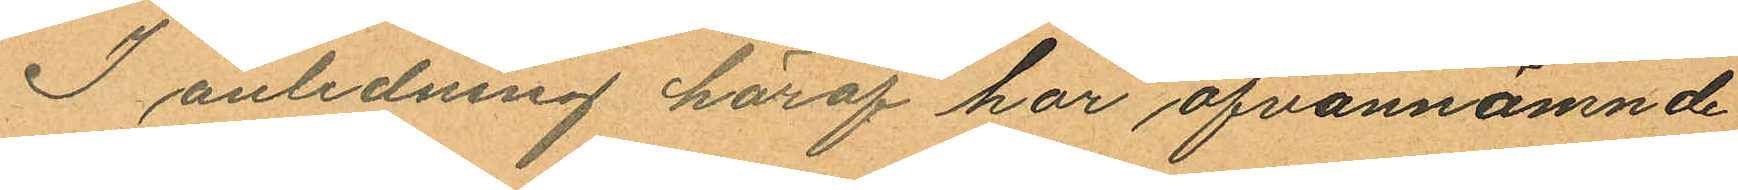I anledning häraf har ofvannämnde
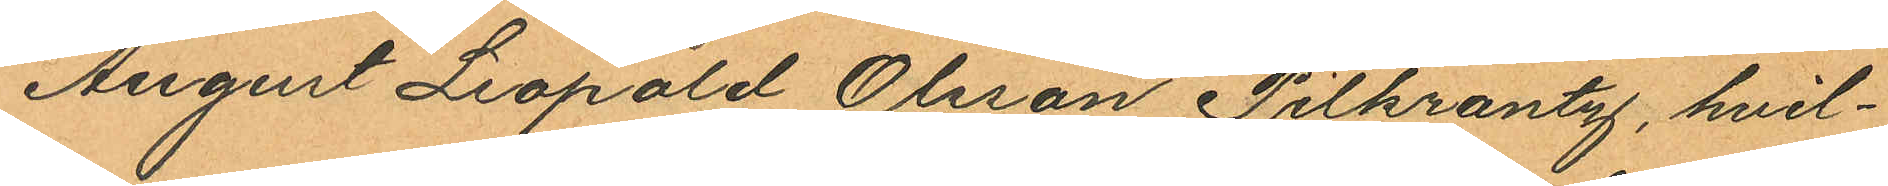August Leopold Olsson Pilkrantz, hvil¬
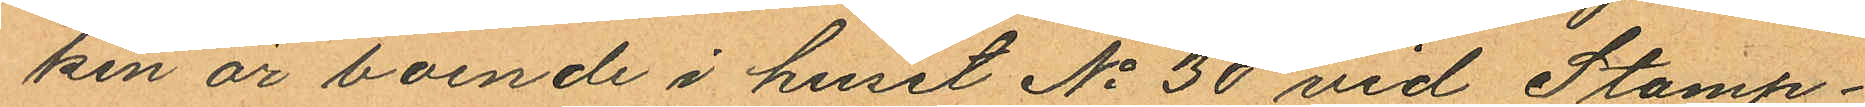ken är boende i huset No 30 vid Stamp¬
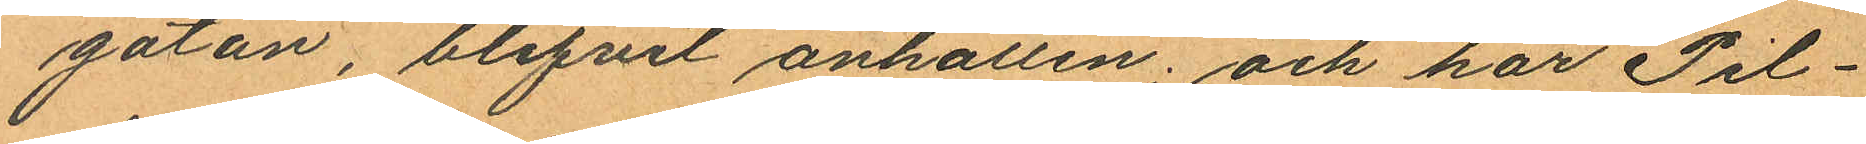gatan, blifvit anhållen; och har Pil¬
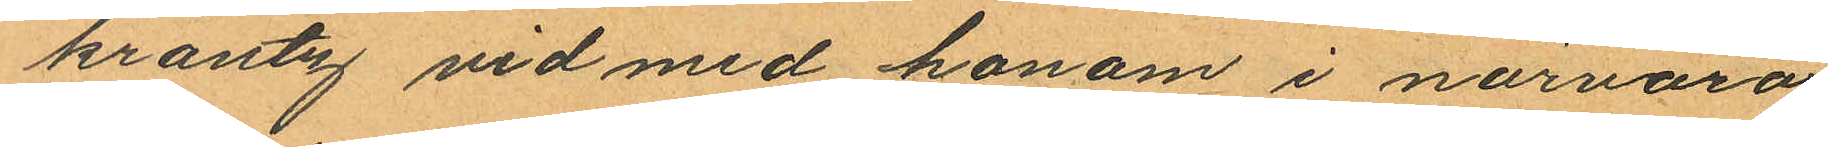krantz vid med honom i närvaro
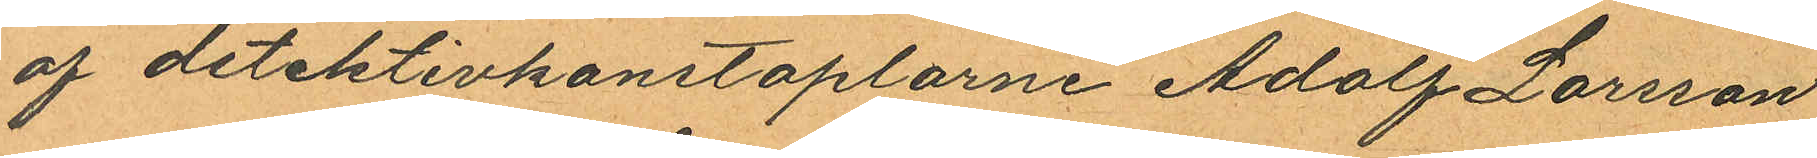af detektivkonstaplarne Adolf Larsson
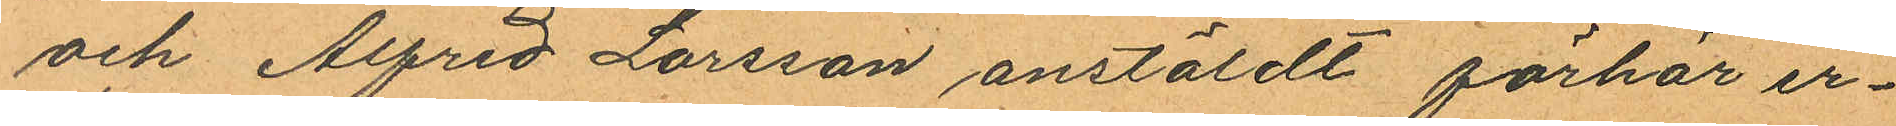och Alfred Larsson anstäldt förhör er¬
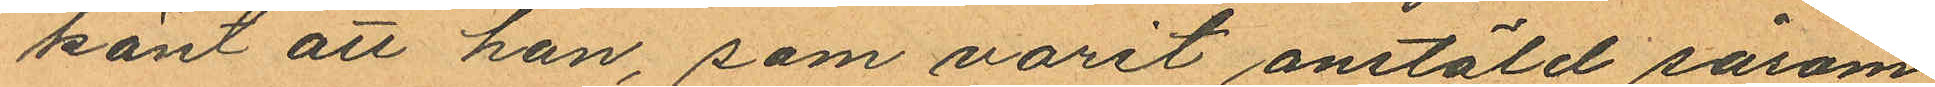känt att han, som varit anstäld såsom
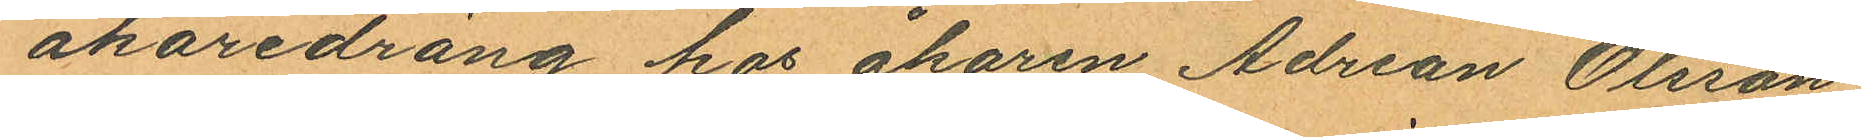åkaredräng hos åkaren Adrean Olsson
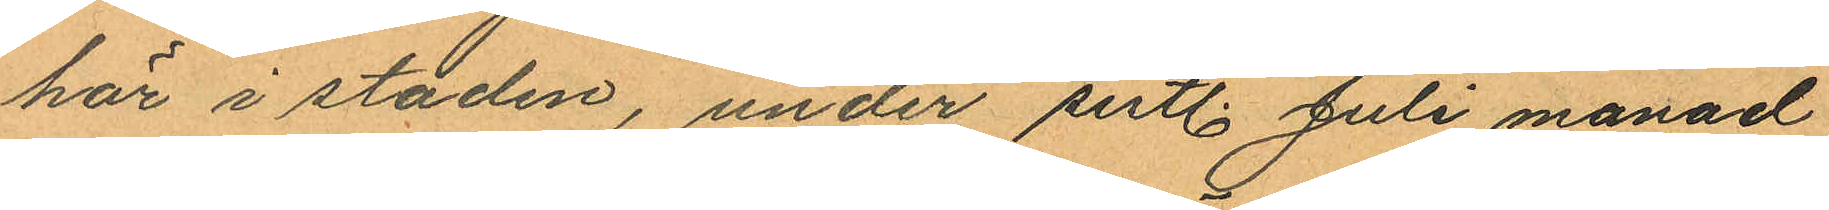här i staden, under sistl. Juli månad
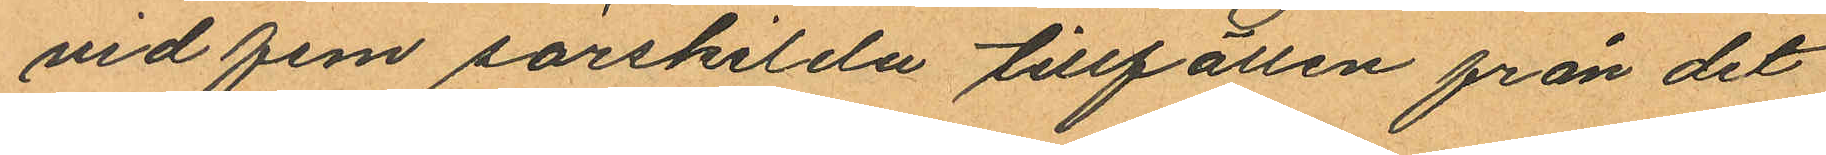vid fem särskilda tillfällen från det
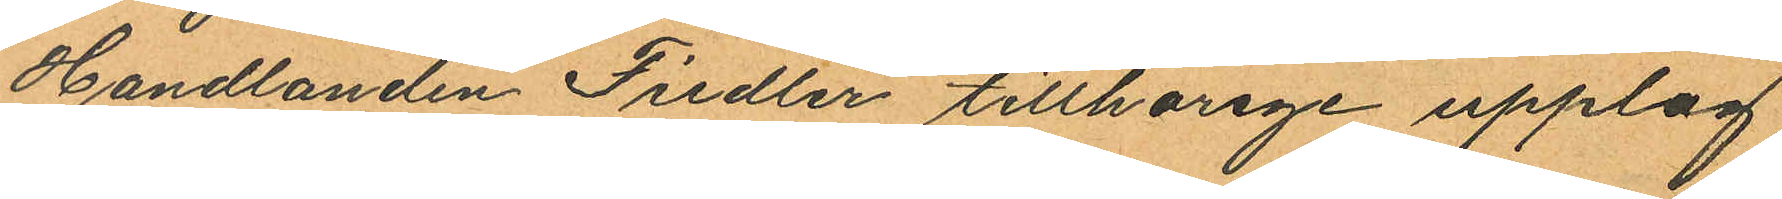Handlanden Fiedler tillhörige upplag
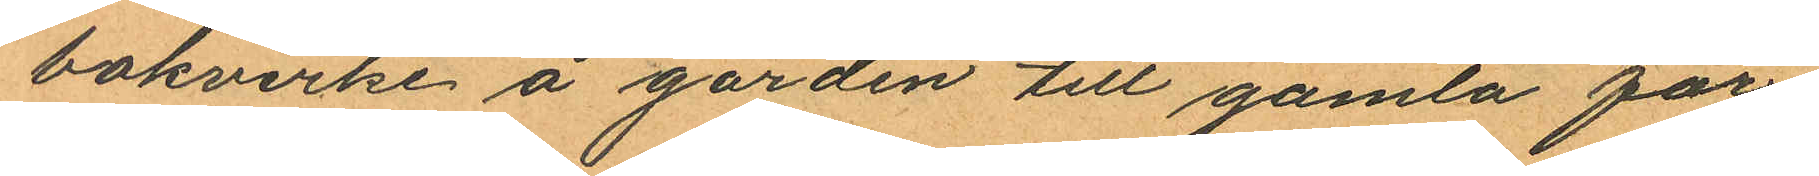bokvirke å gården till gamla för¬
